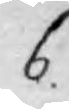6.
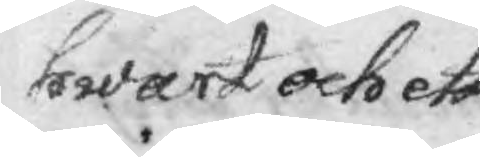hwart och ett
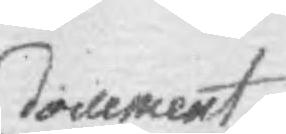document
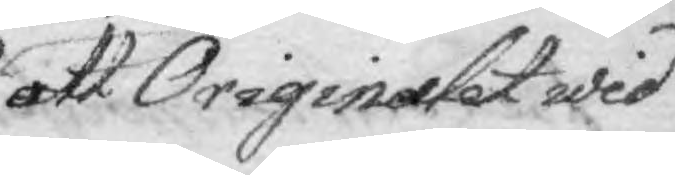att Originalet wid
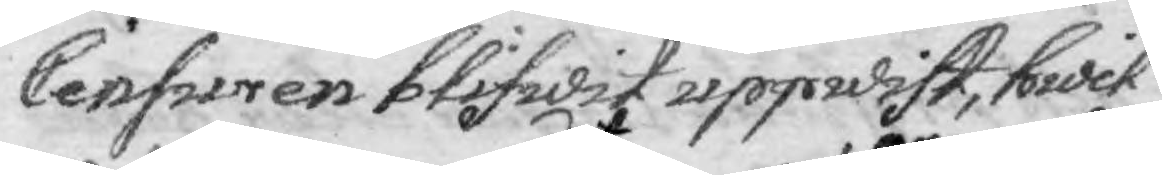Censuren blifwit uppwist, hwil¬
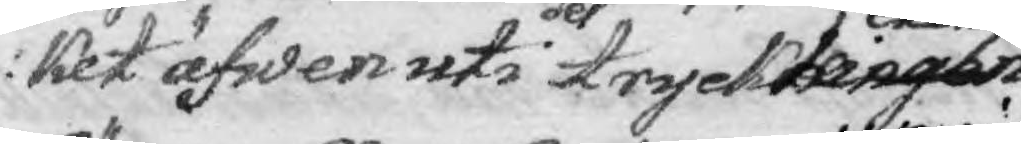ket äfwen uti det tryckningarta exemplaret ut¬ 
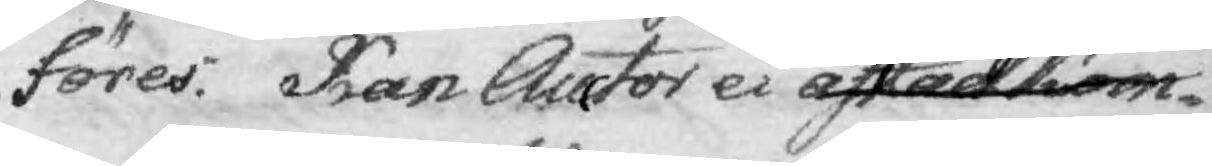föres. Kan Auctor ei upvisa efterkom¬
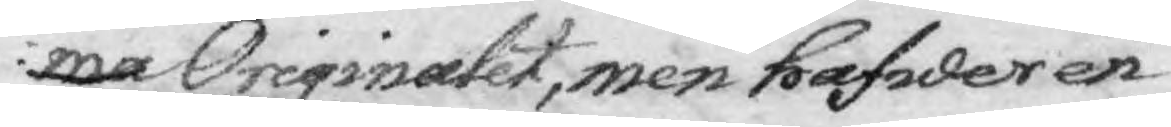ma Originalet, men hafwer en
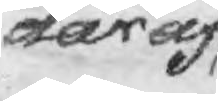däraf
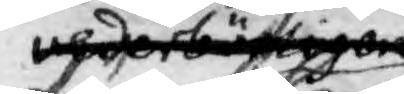wederbörligen
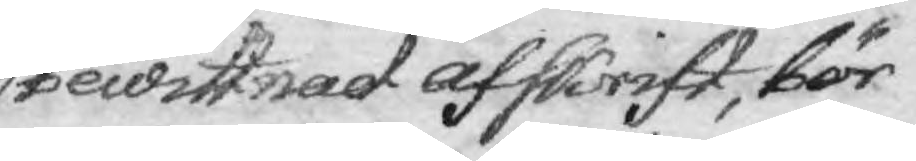bewittnad afskrift, bör
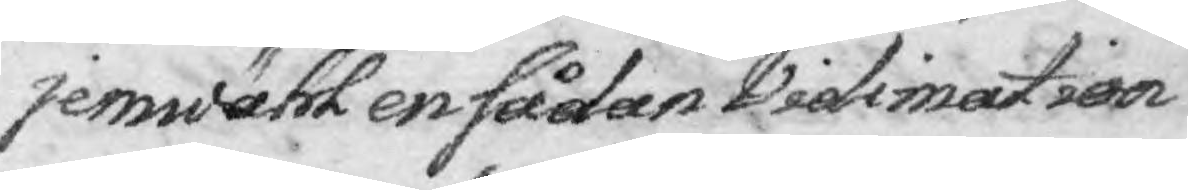jemwähö en sådan Vidimation
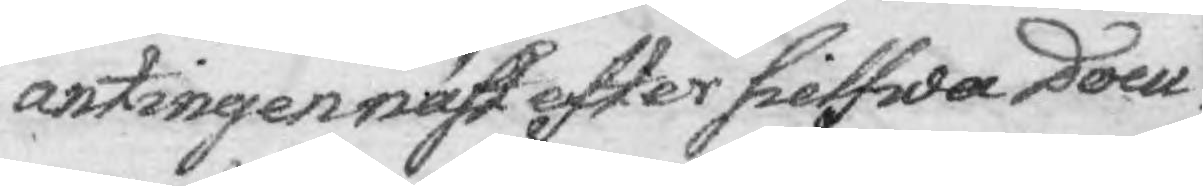ántingen näst efter sielfwa Docu¬
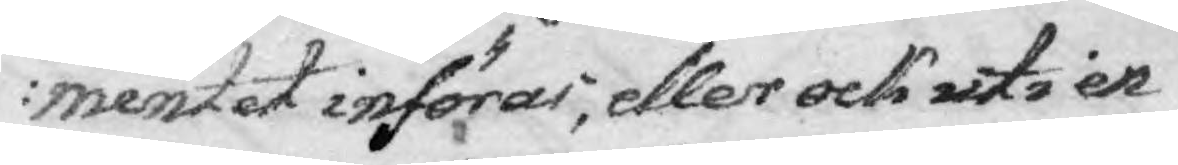mentet införas, eller ock uti e
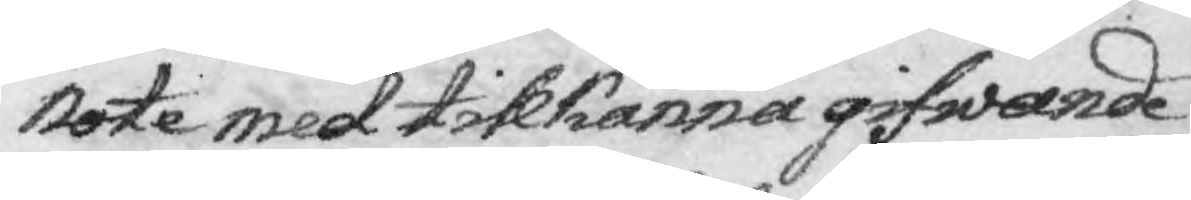Note med tillkänna gifwande
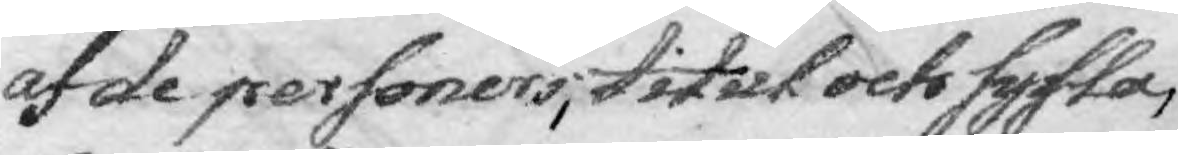af de personers, titul och sysla,
